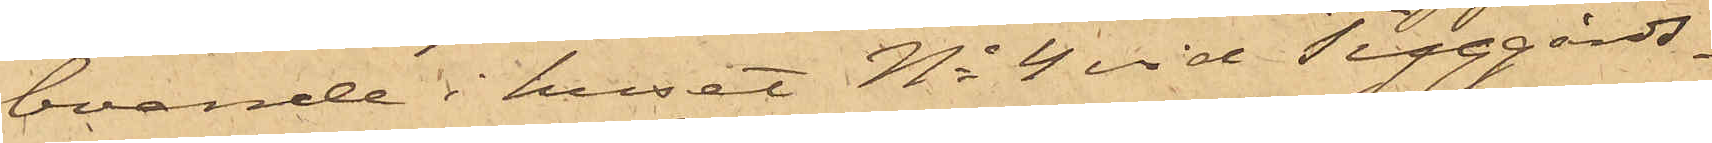boende i huset No 4 vid Tyggårds¬
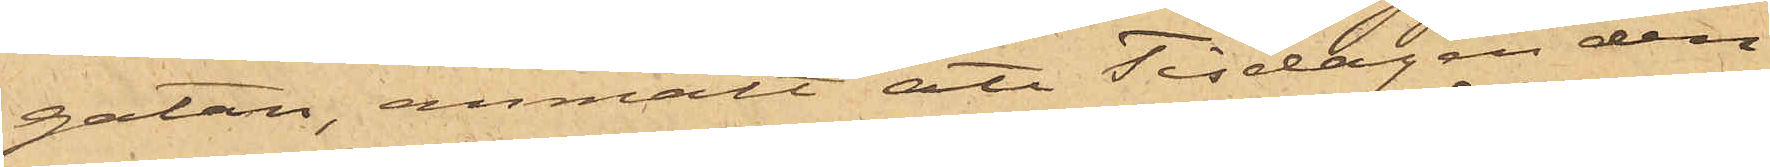gatan, anmält att Tisdagen den
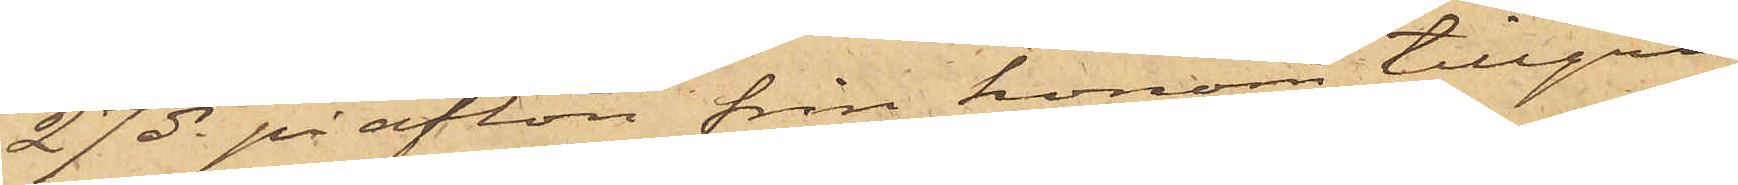27 ds på afton från honom tillgri¬
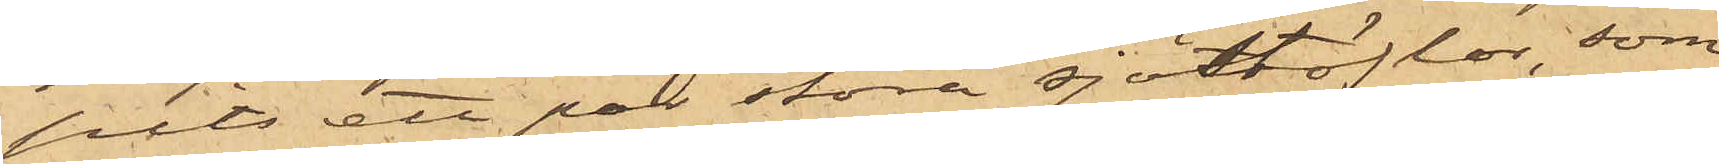pits ett par stora sjöstöflar, som
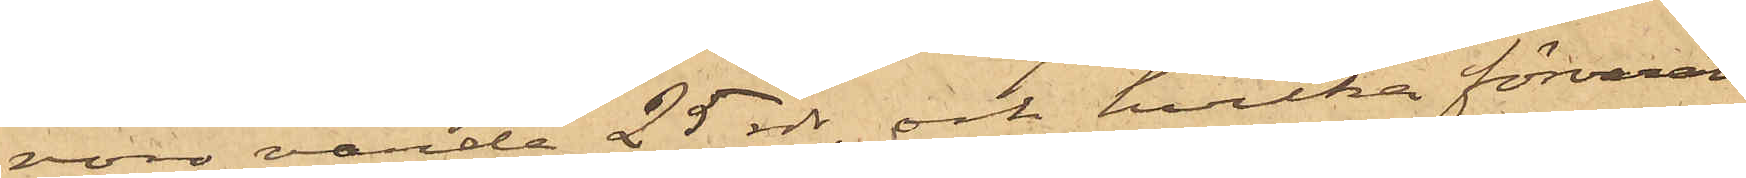voro värda 25 rdr, och hvilka förvarats
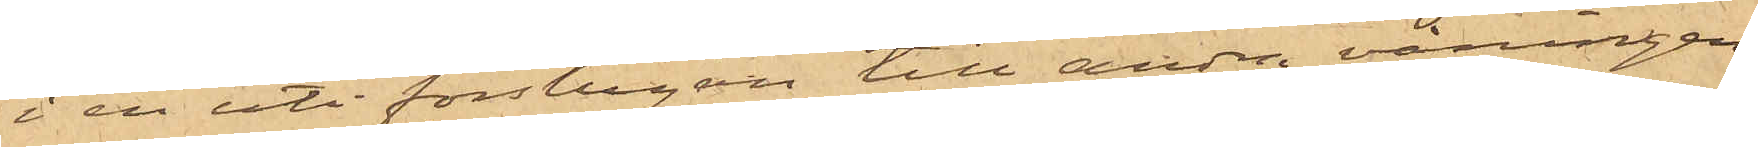i en uti förstugan till andra våningen
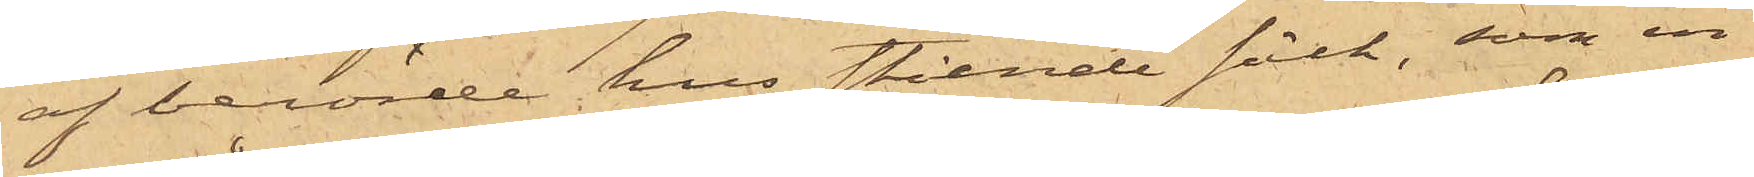af berörde hus stående säck, som in¬
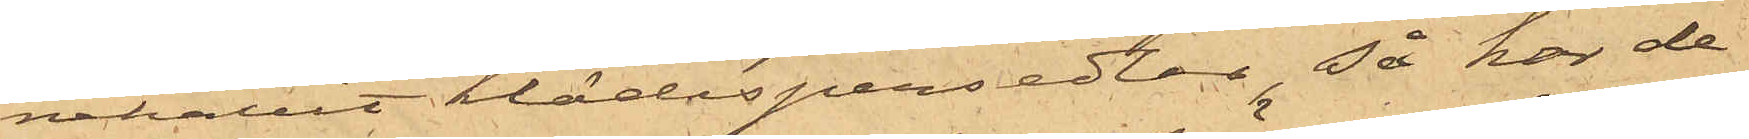nehållit klädespersedlar, så har de¬
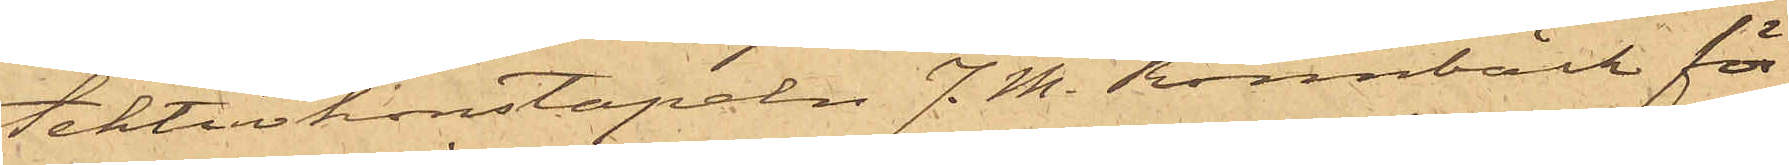tektivkonstapeln J. M. Rönnbäck för
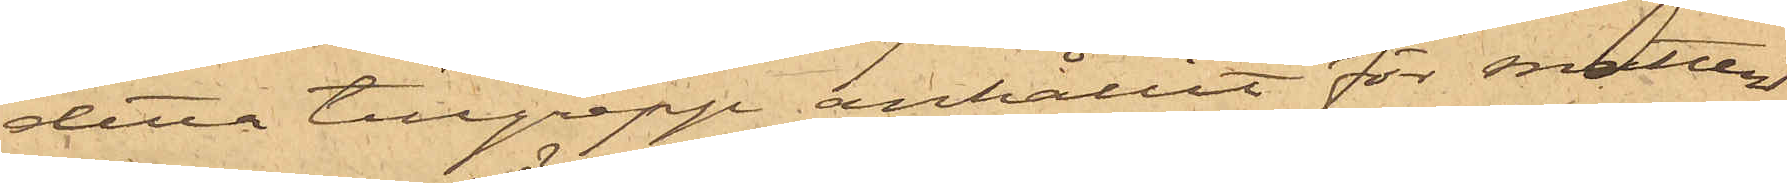detta tillgrepp anhållit för snatteri
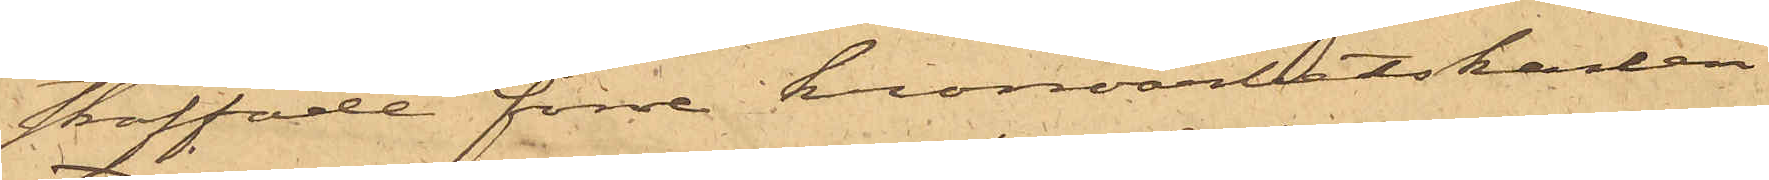straffade förre kronoarbetskarlen
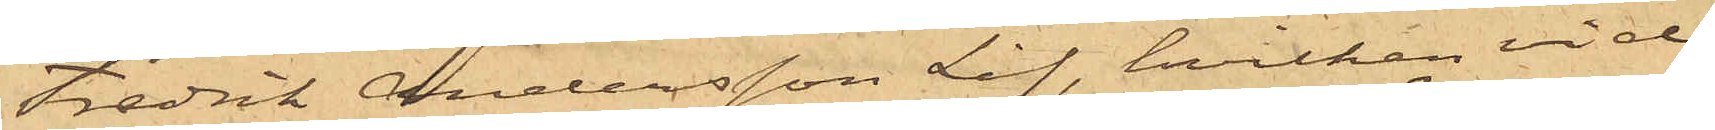Fredrik Andersson Lif, hvilken vid
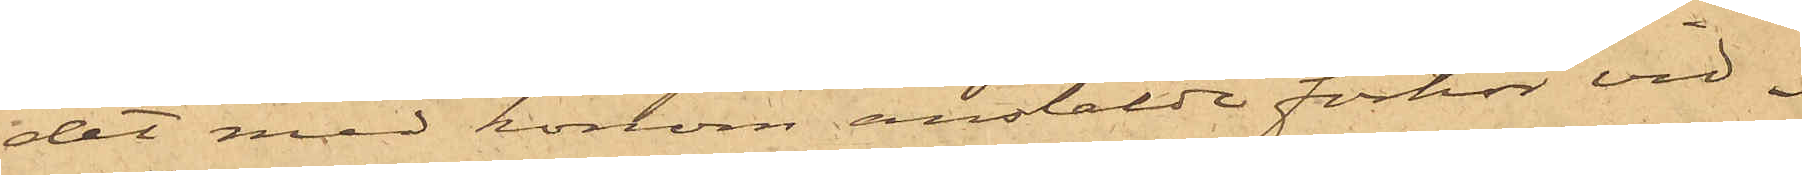det med honom anstälde förhör vid¬
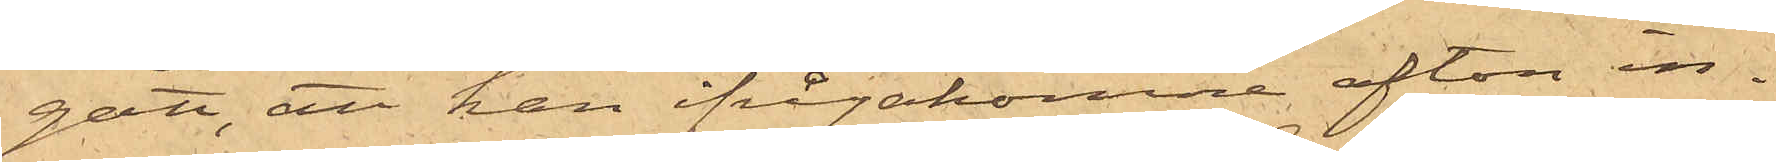gått, att han ifrågakomne afton in¬
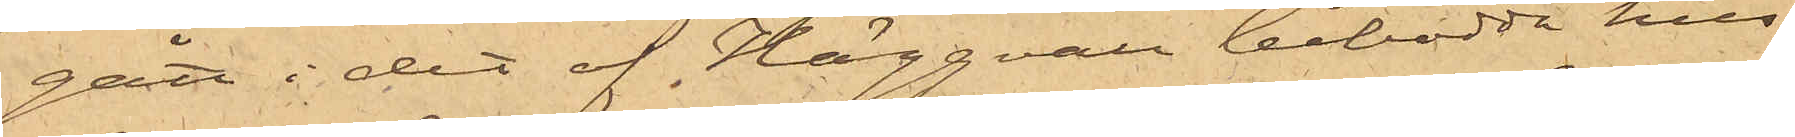gått i det af Häggvall bebodda hus
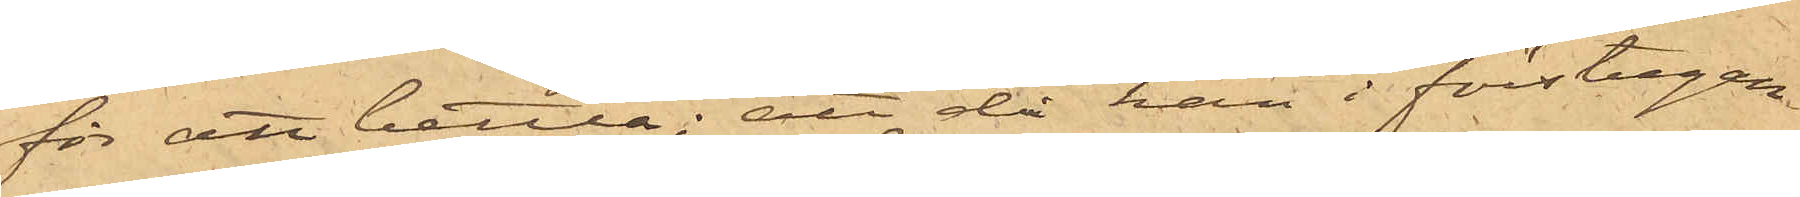för att bettla; att då han i förstugan
